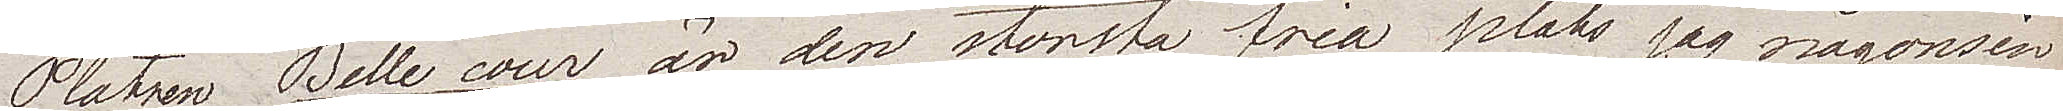Platsen Belle Cour är den största fria plats jag någonsin
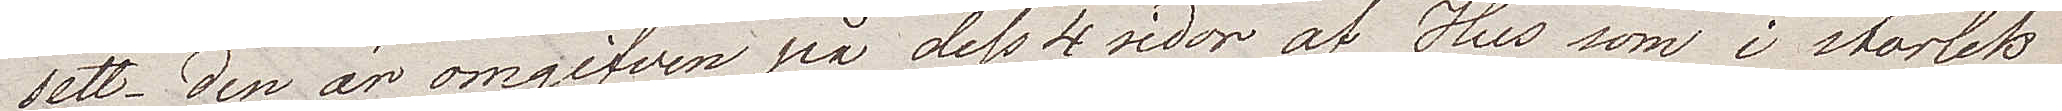sett. Den är omgifven på dess 4 sidor af Hus som i storlek
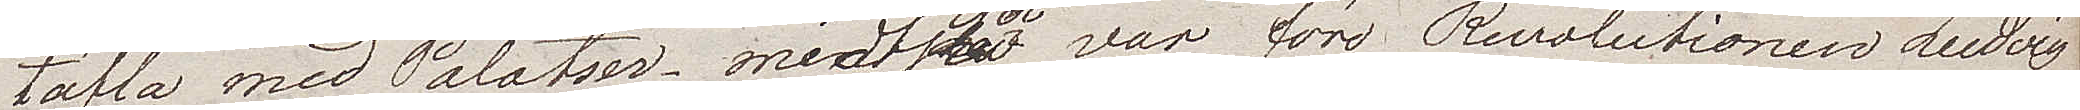täfla med Palatser, midt i den var före Revolutionen Ludvig
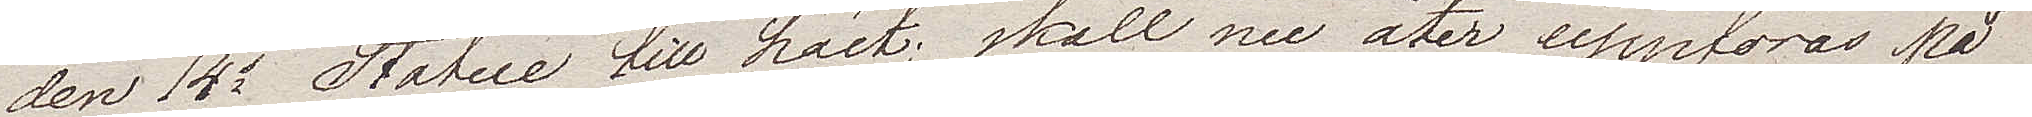den 14s Statue till häst; skall nu åter uppföras på
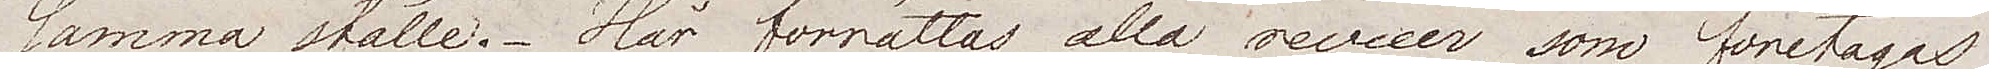samma ställe. Här förrättas alla exerciser som företagas
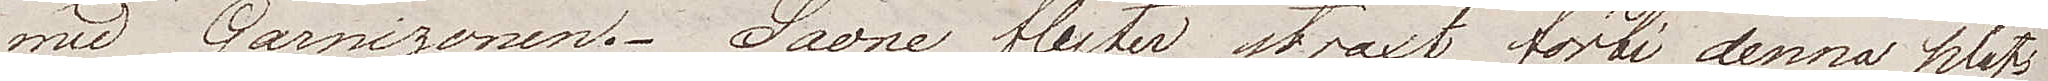med Garnizonen. Saone flyter strax förbi denna plats.
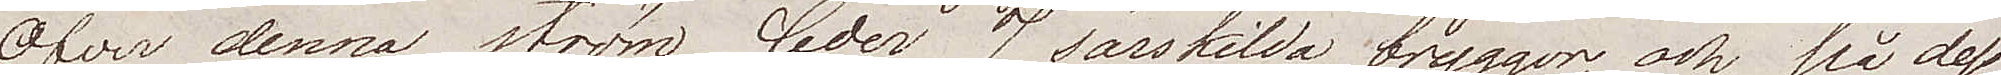Öfver denna ström leder 7 särskilda bryggor och på dess
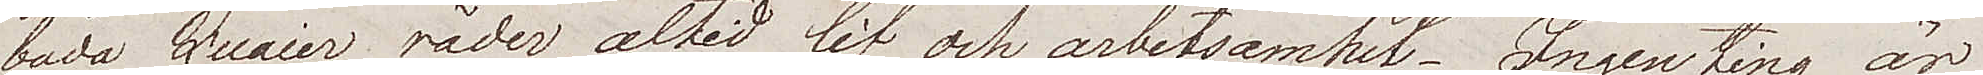båda Quaier råder altid lif och arbetsamhet. Ingenting är
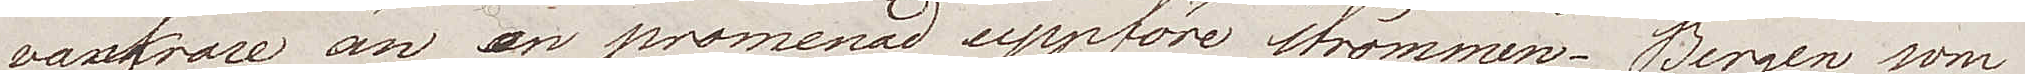vackrare än en promenad uppföre strömmen. Bergen som
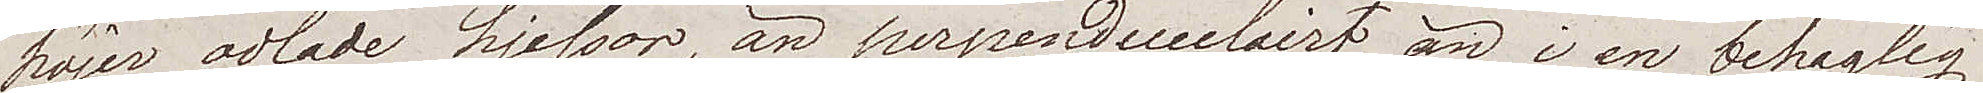höjer odlade hjessor, än perpendiculairt än i en behaglig
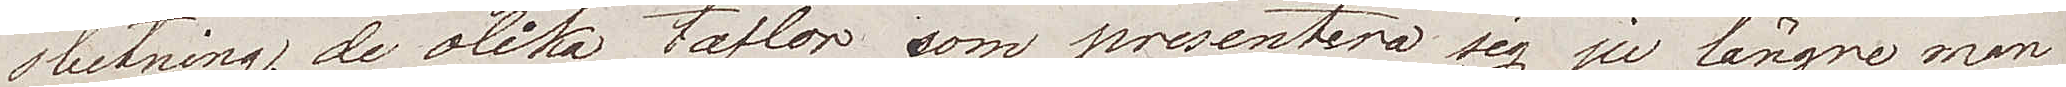slutning, de olika taflor som presentera sig ju längre man
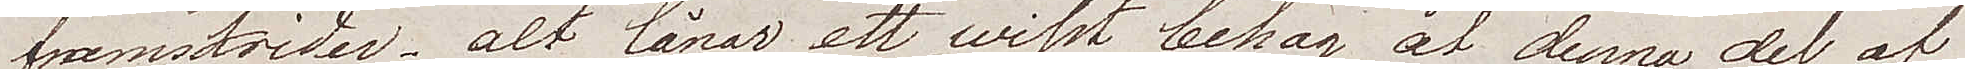framskrider – alt lånar ett wisst behag åt denna del av
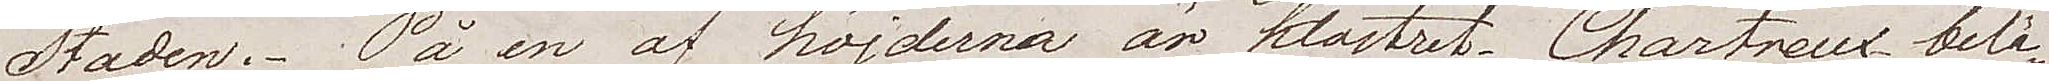Staden. På en av höjderna är klostret Chartreux belä¬
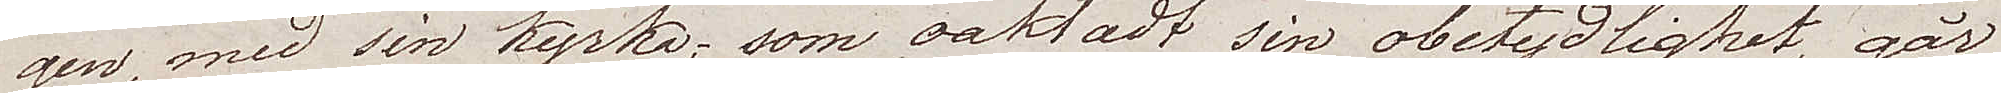gen, med sin kyrka, som oaktadt sin obetydlighet, går
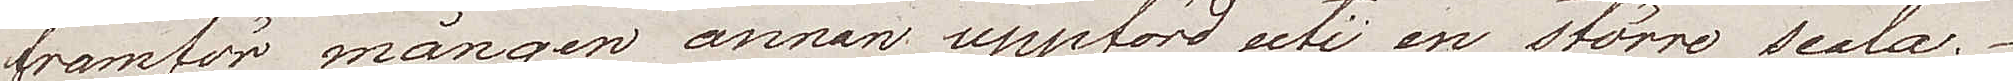framför mången annan uppförd uti en större scala.
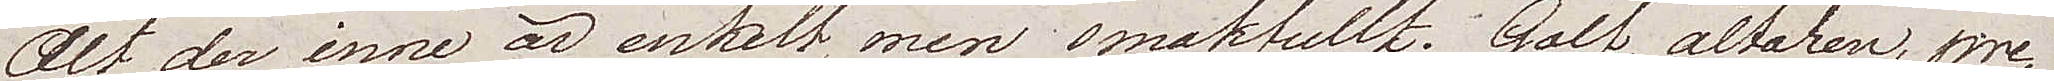Alt der inne är enkelt, men smakfullt. Golf, altaren, pre¬
